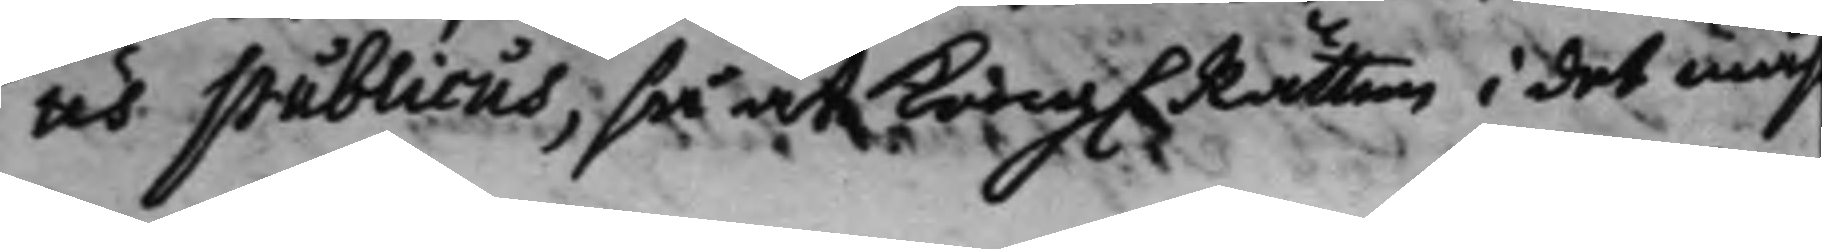us publicus, så at Kong. Rätten i det måh
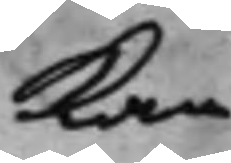kan
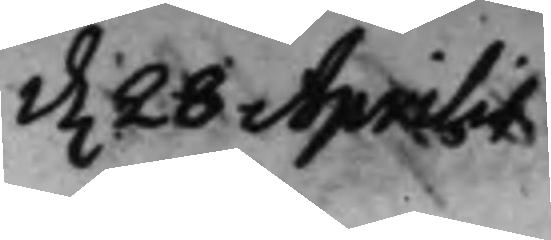d. 28 Aprilis
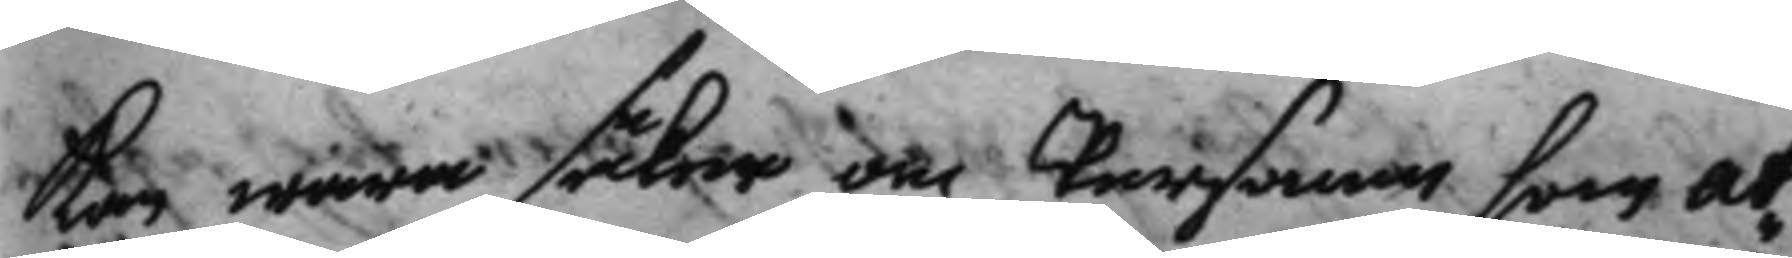kan wara säker om Personen som at¬
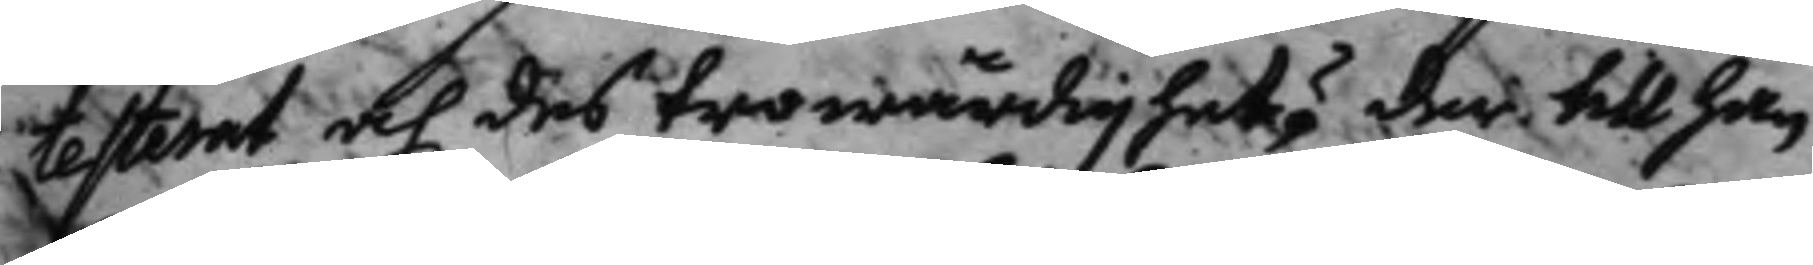testerat och des trowärdighet? der till han
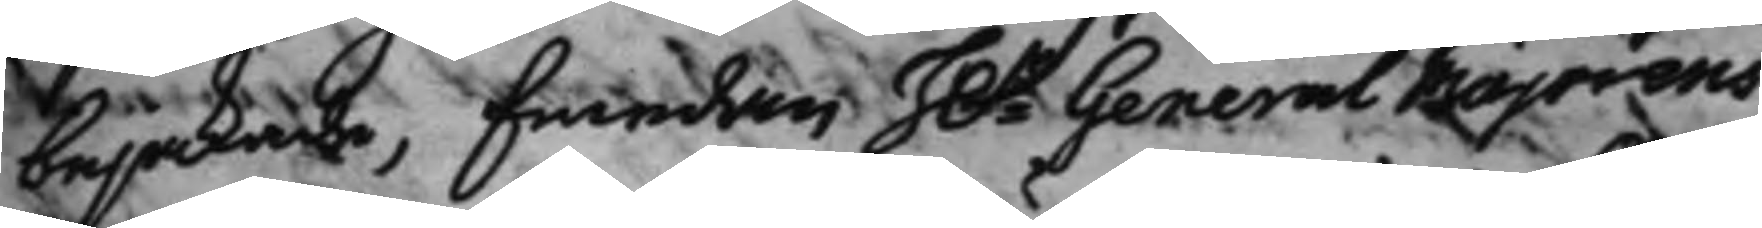bejakade, Emedan H.r General Majorens
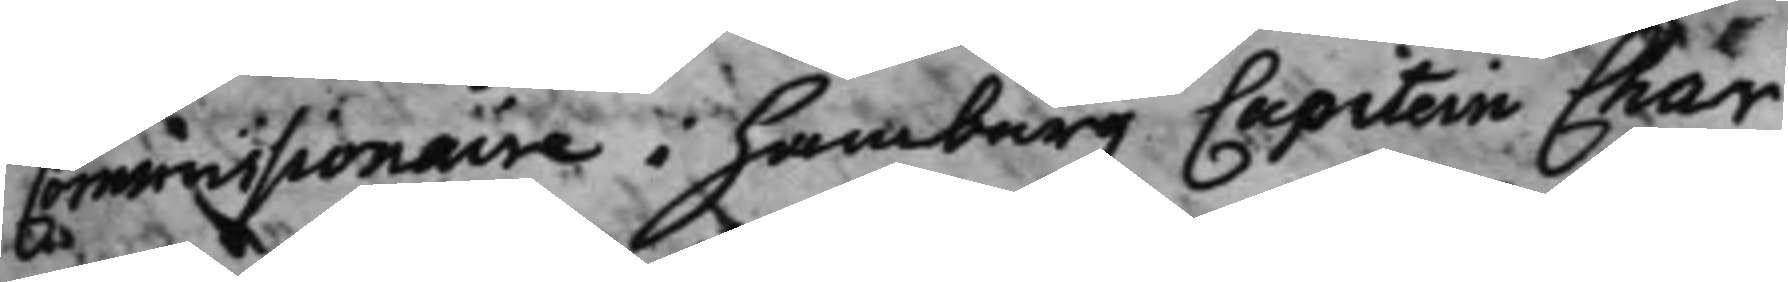Commissionaire i Hamburg Capitein Chär
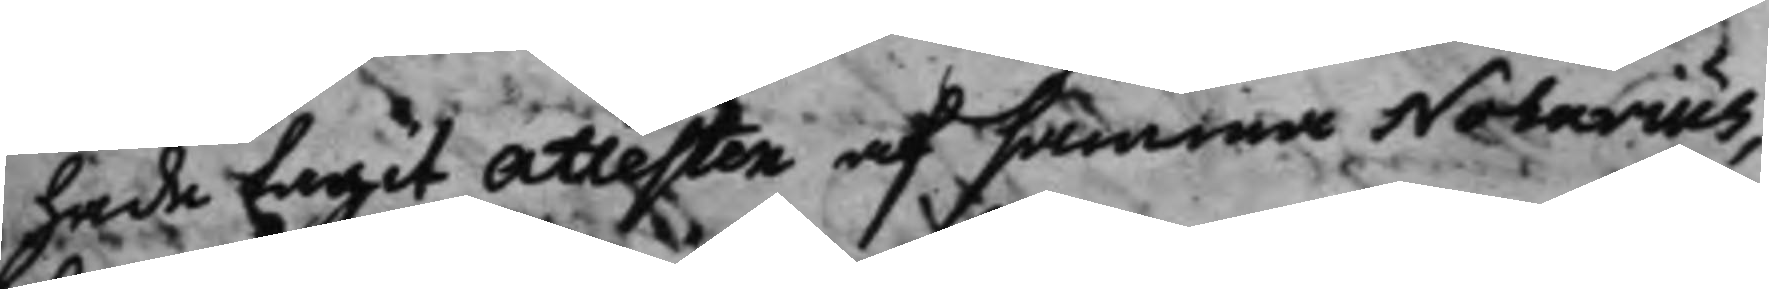hade tagit attesten af samma Notarius,
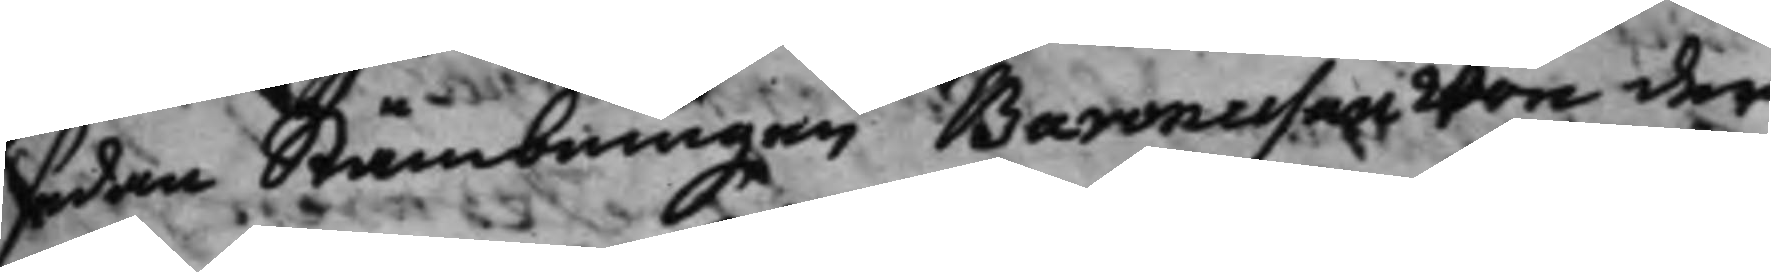sedan Stämbningen Baronessan won der
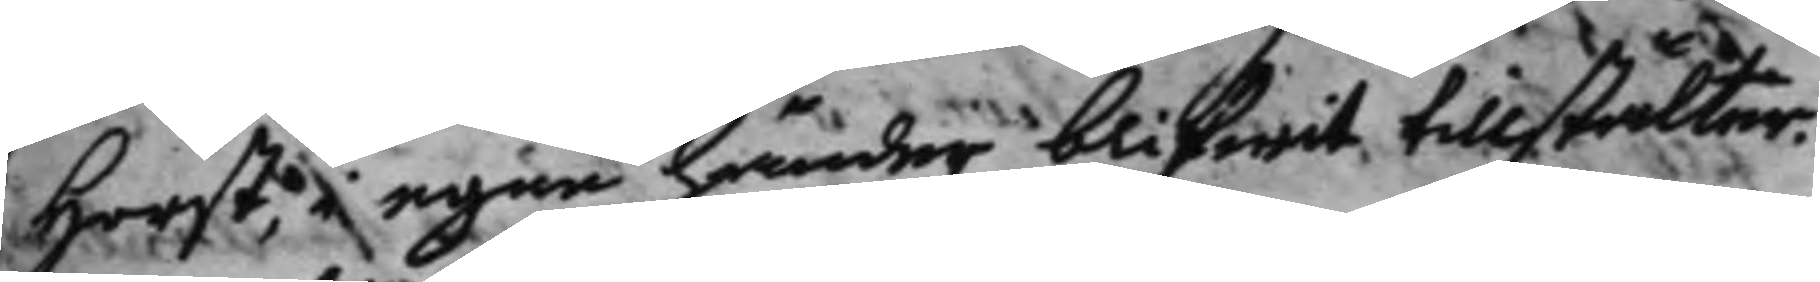Horst, i egne händer blifwit tillstälter.
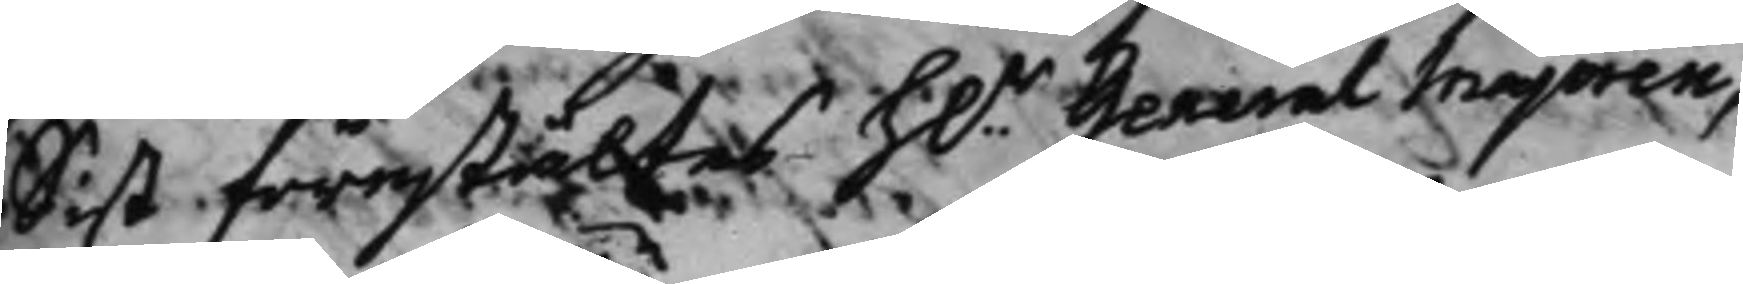Sist förestältes H.r General Majoren,
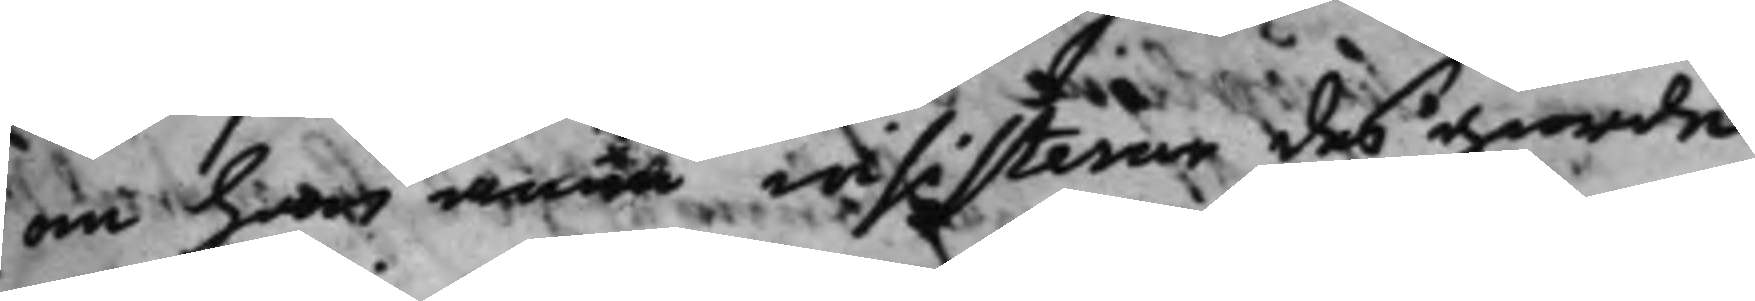om han ännu insisterar des giorde
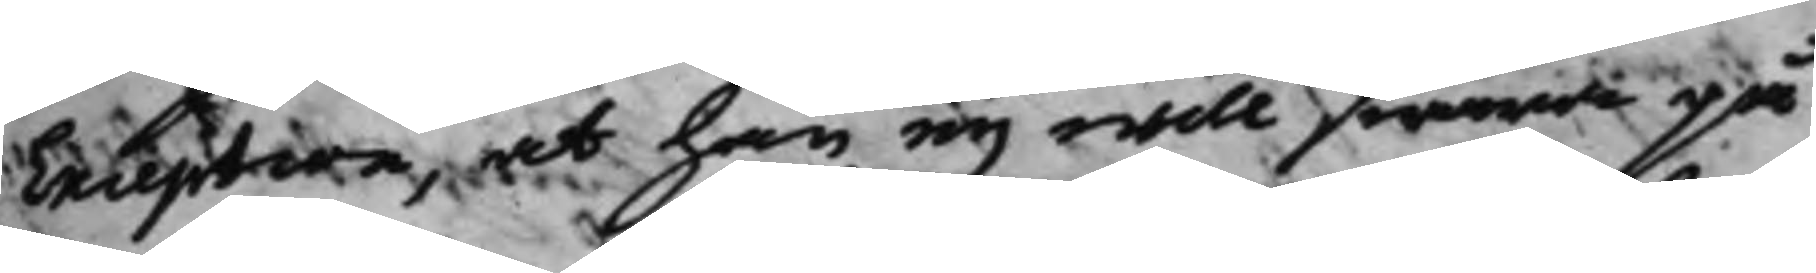Exception, at han eij will swara på
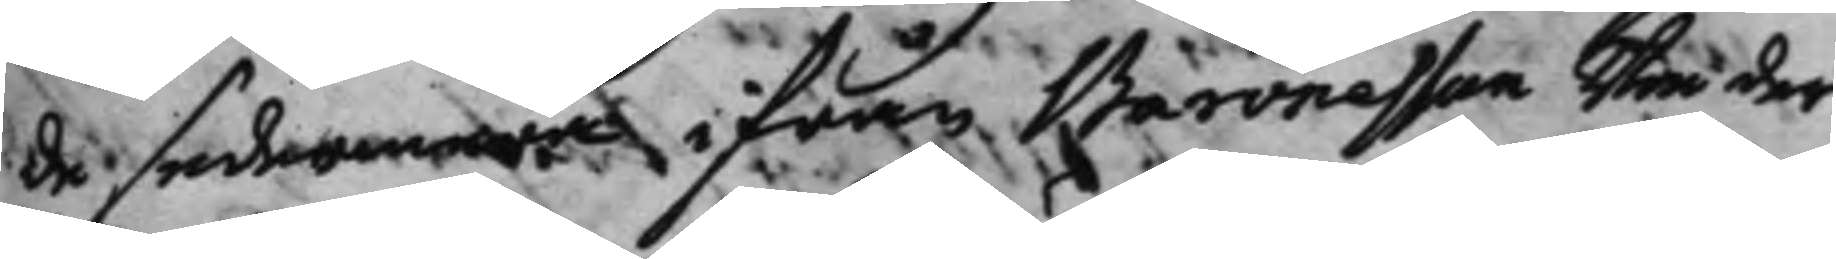de sedermera ifrån Baronesson won der
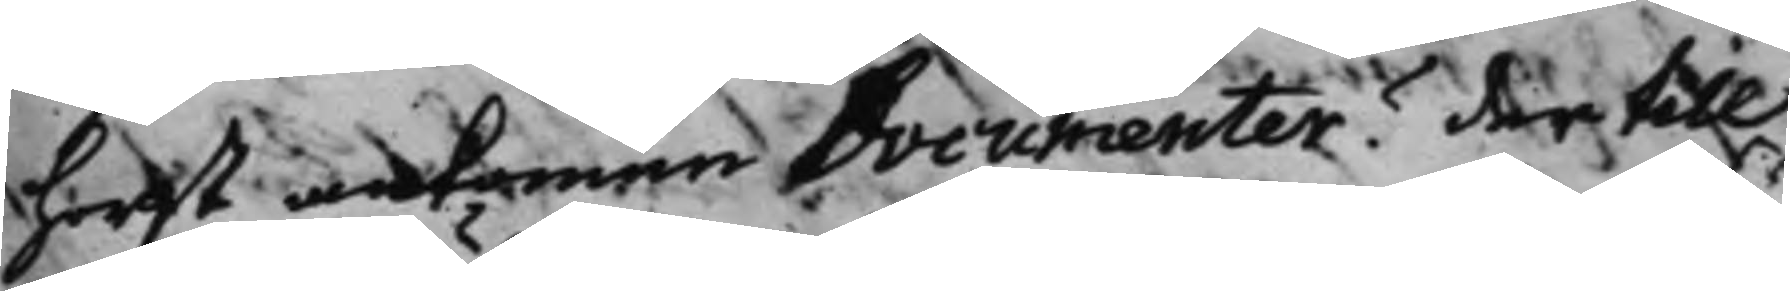Horst ankommne Documenter? der till
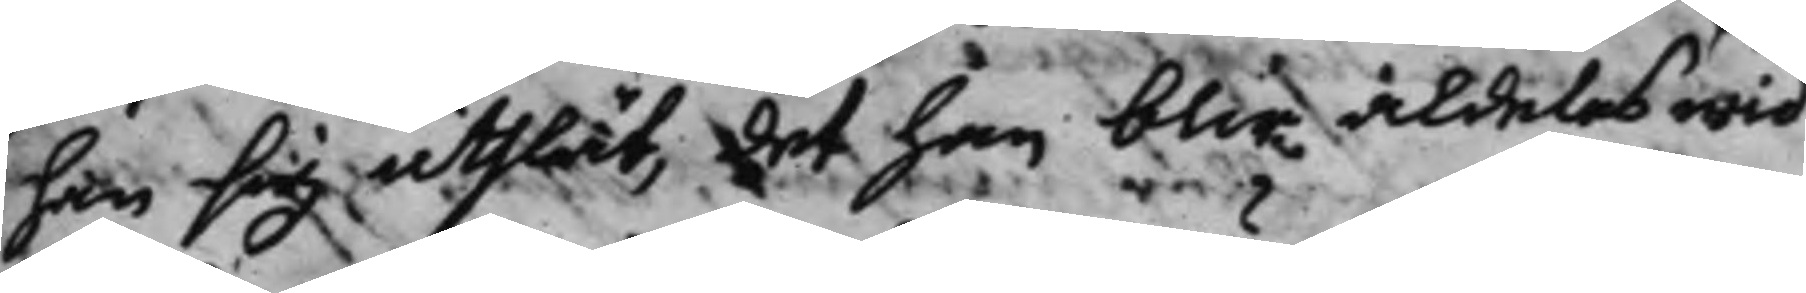han sig uthlät, det han blir aldeles wid
